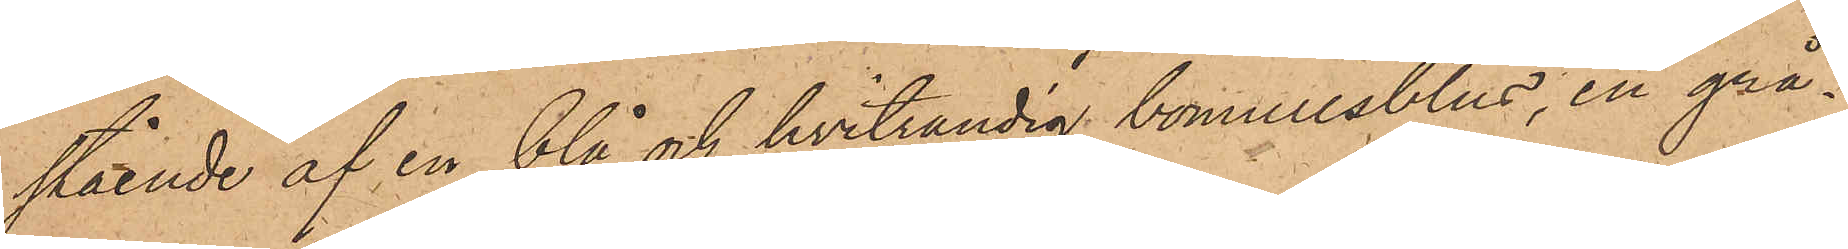stående af en blå och hvitrandig bomullsblus, en grå¬
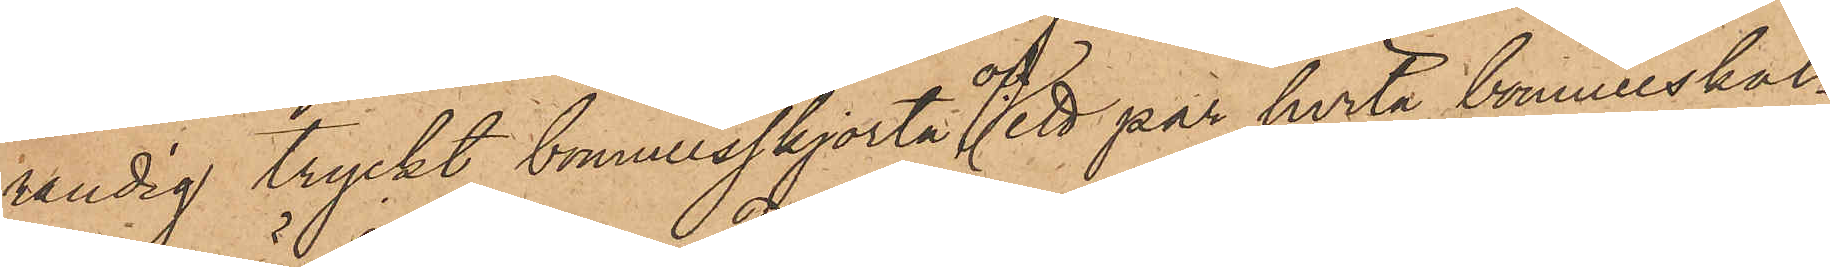randig tryckt bomullsskjorta och ett par hvita bomullskal¬
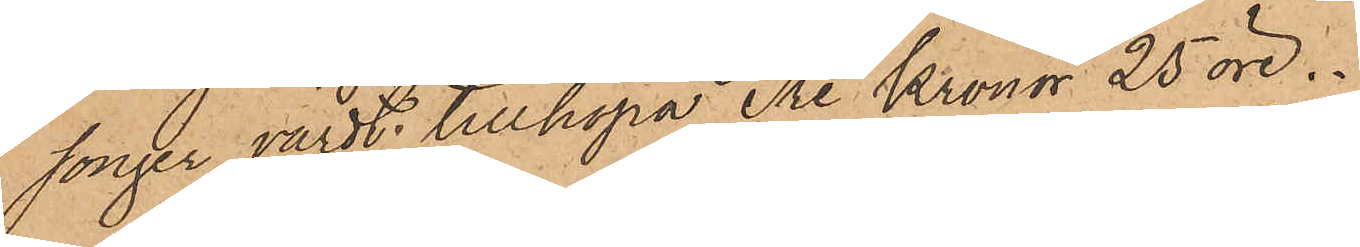songer, värdt tillhopa Tre Kronor 25 öre.
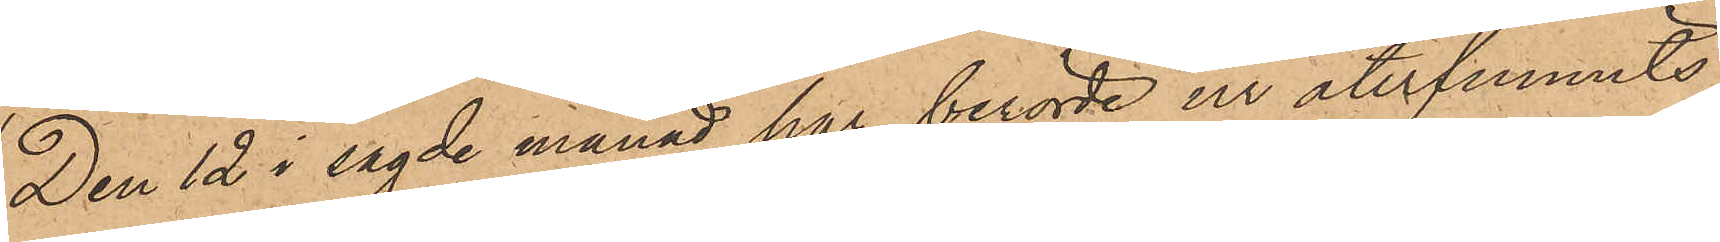Den 12 i sagde månad har berörde ur återfunnits
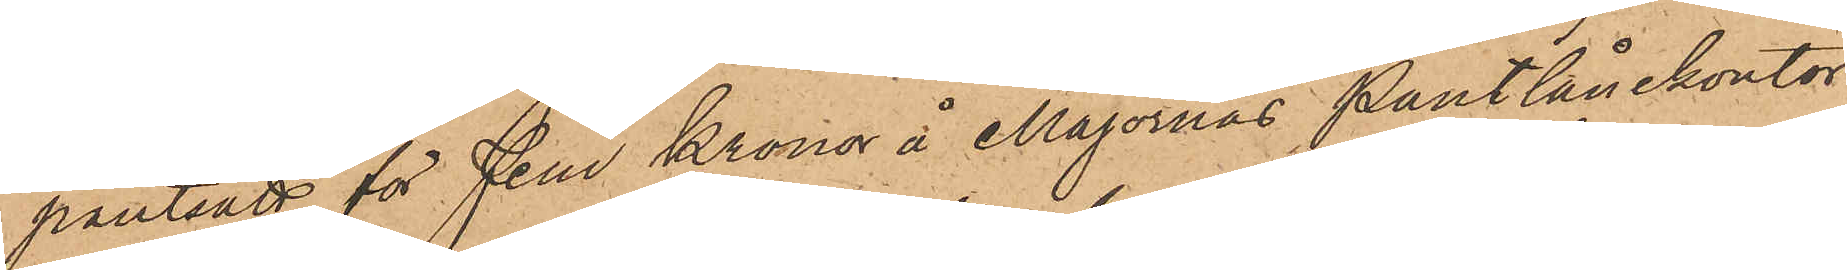pantsatt för Fem Kronor å Majornas Pantlånekontor
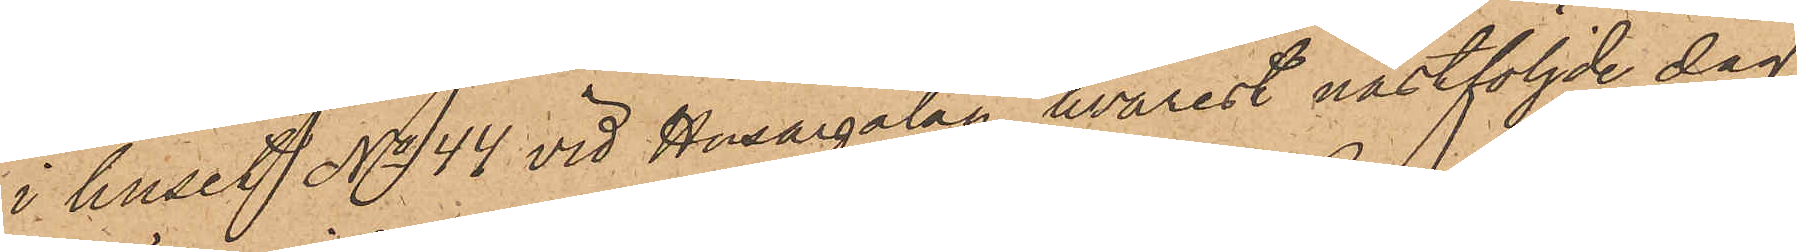i huset No 44 vid Husargatan, hvarest nästföljde dag
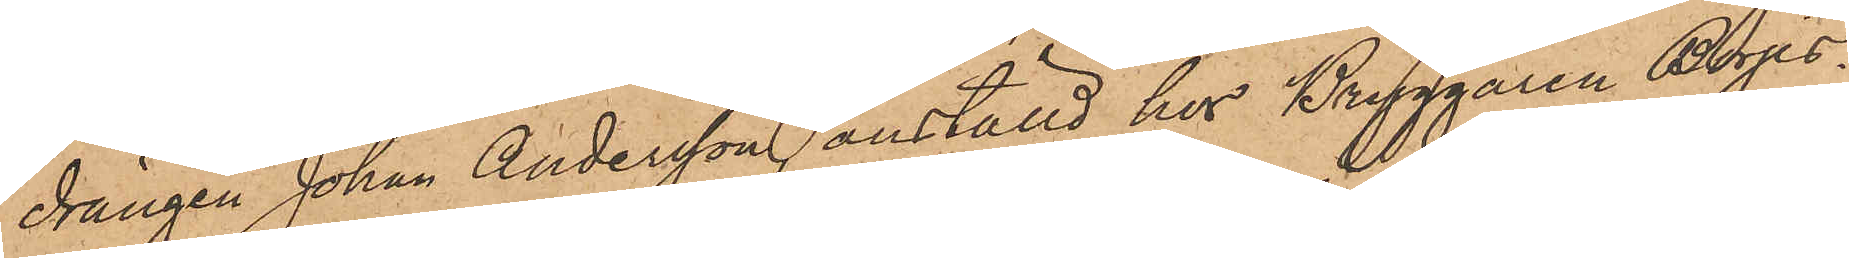drängen Johan Andersson, anställd hos Bryggaren Börjes¬
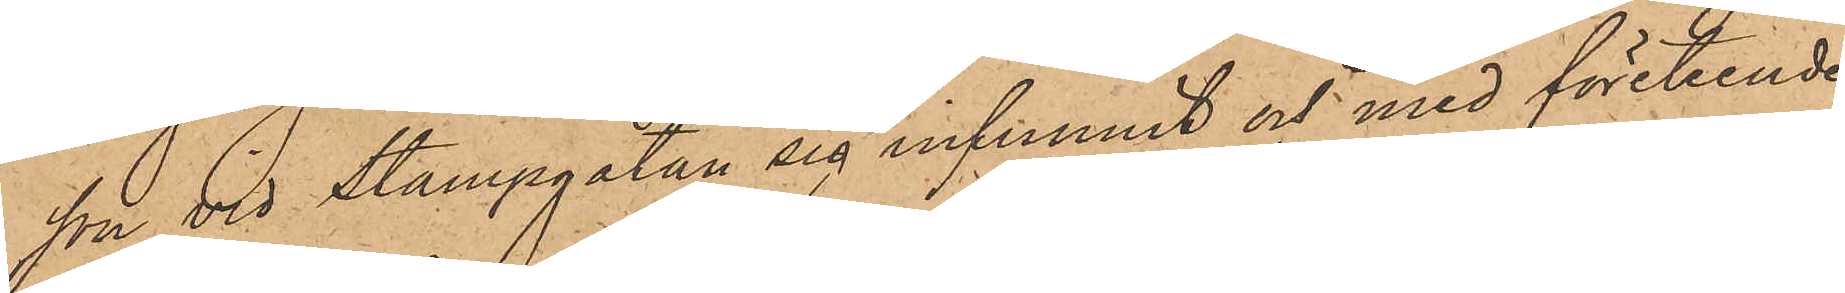son vid Stampgatan sig infunnit och med företeende
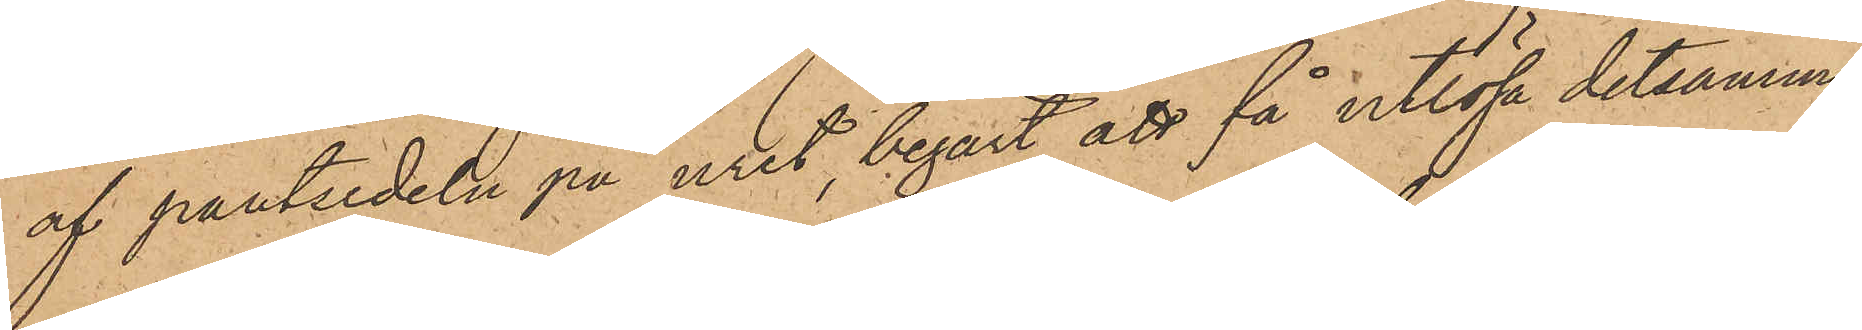af pantsedeln på uret, begärt att få utlösa detsamma,
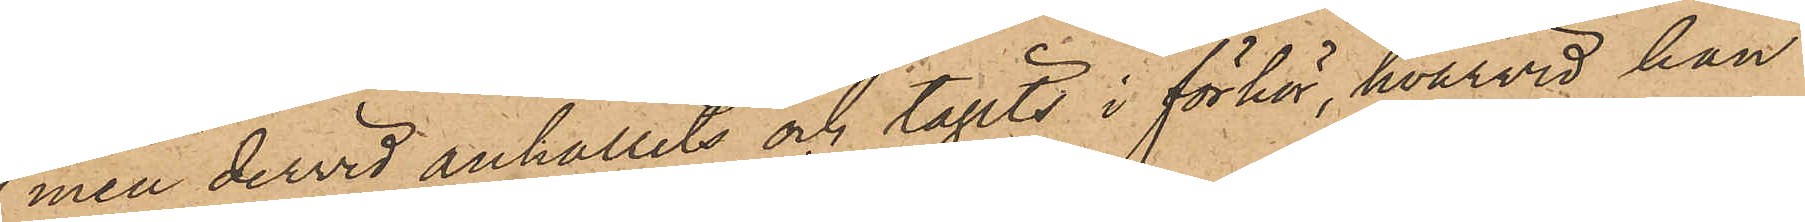men dervid anhållits och tagits i förhör, hvarvid han
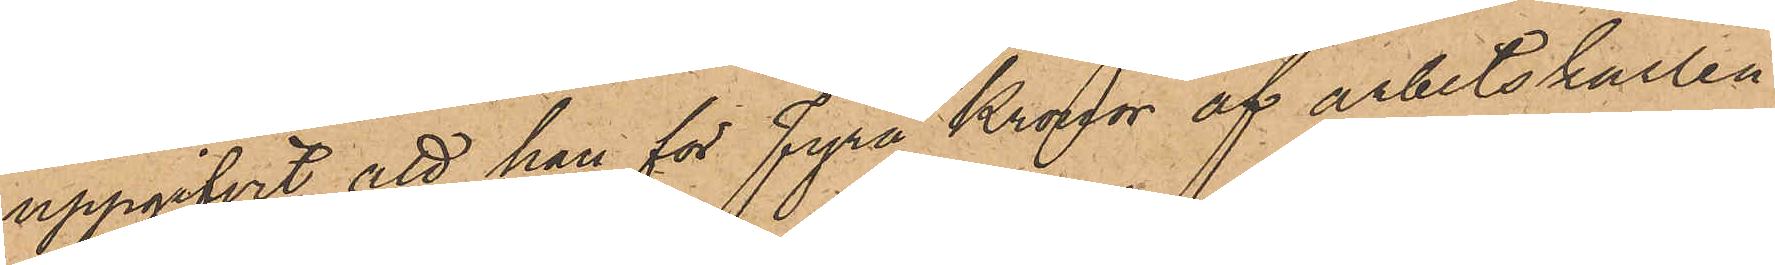uppgifvit, att han för Fyra Kronor af arbetskarlen
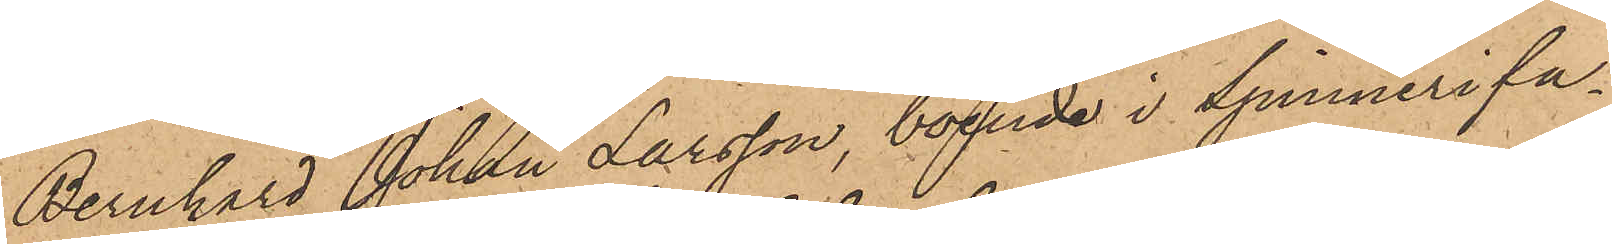Bernhard Johan Larsson, boende i Spinnerifa¬
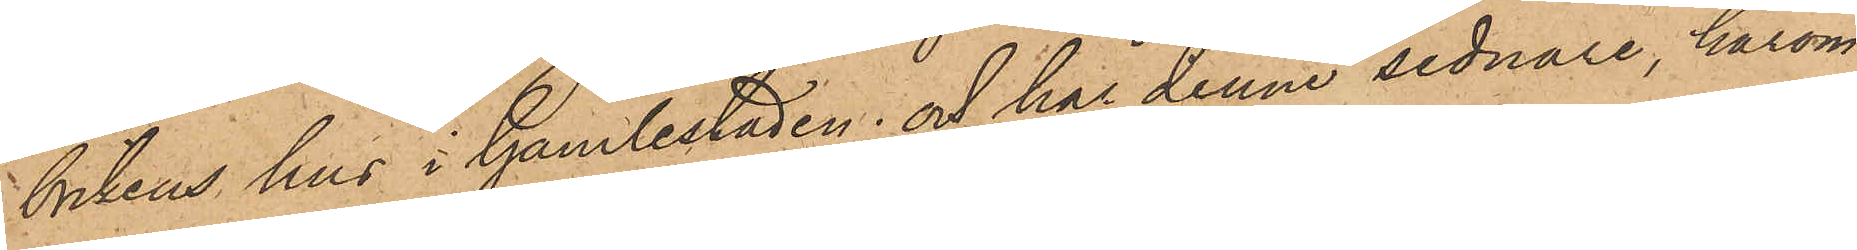brikens hus i Gamlestaden; och har denne sednare, härom
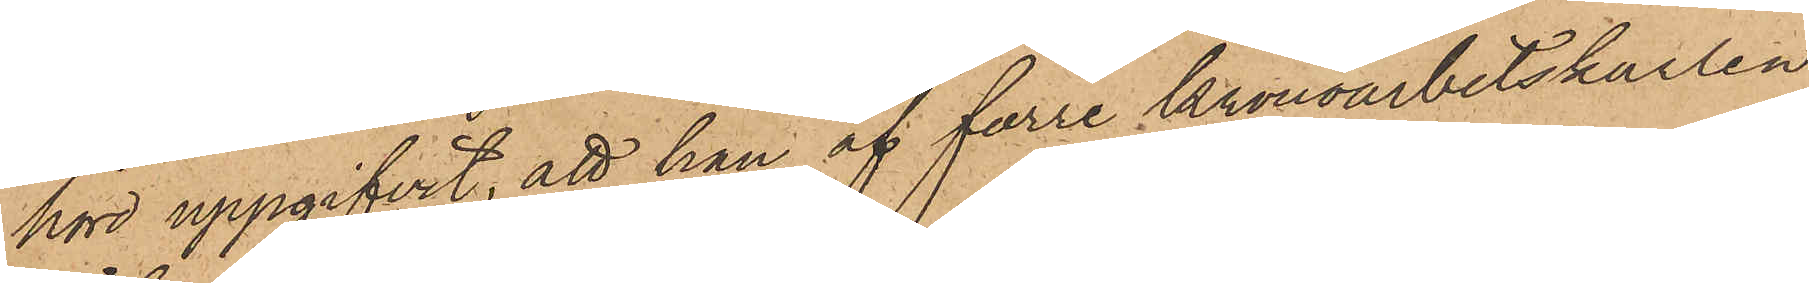hörd uppgifvit, att han af förre Kronoarbetskarlen
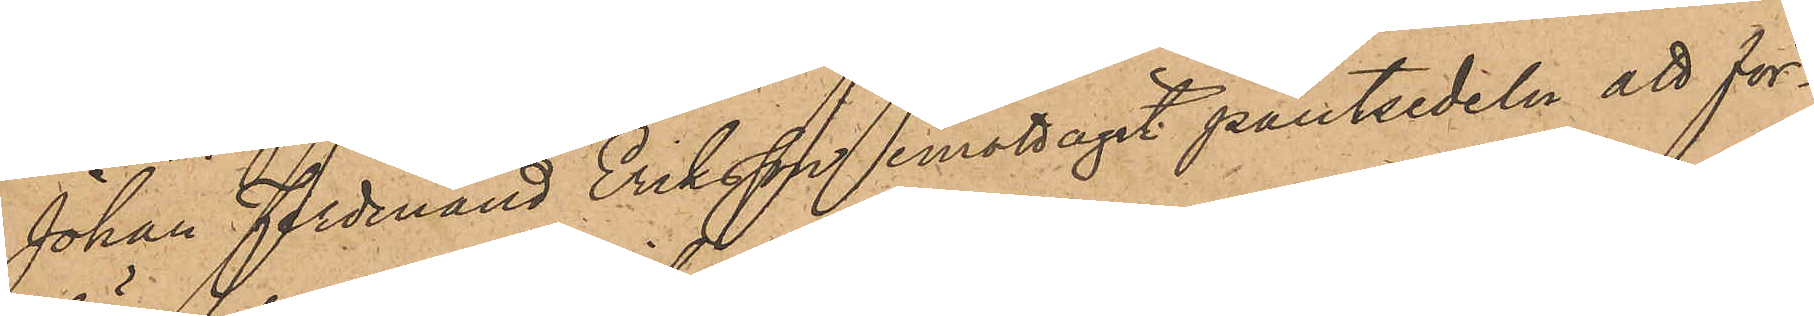Johan Ferdinand Eriksson emottagit pantsedeln att för¬
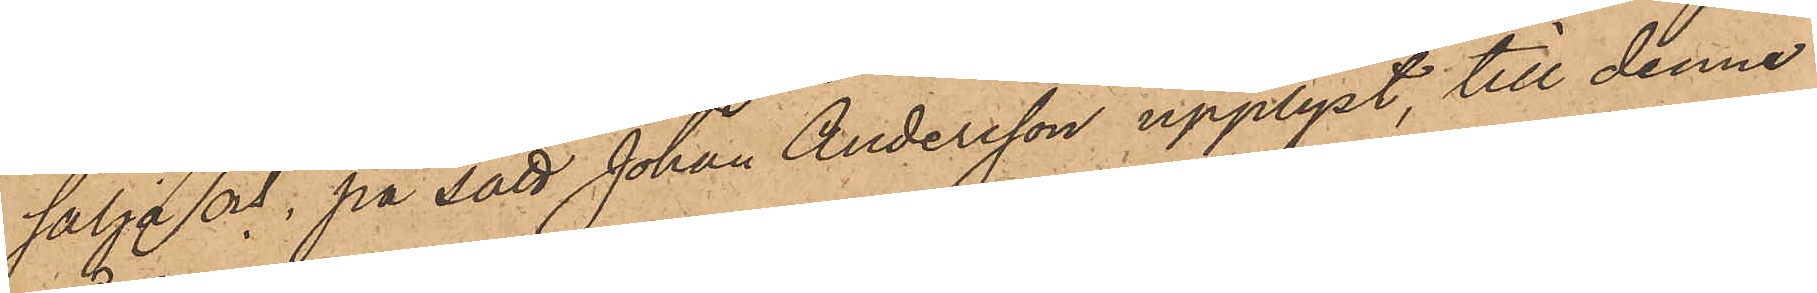sälja och, på sätt Johan Andersson upplyst, till denne
